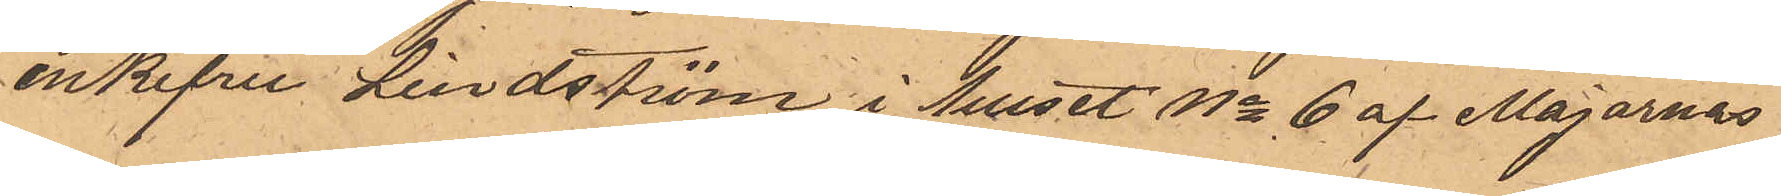enkefru Lindström i huset No 6 af Majornas
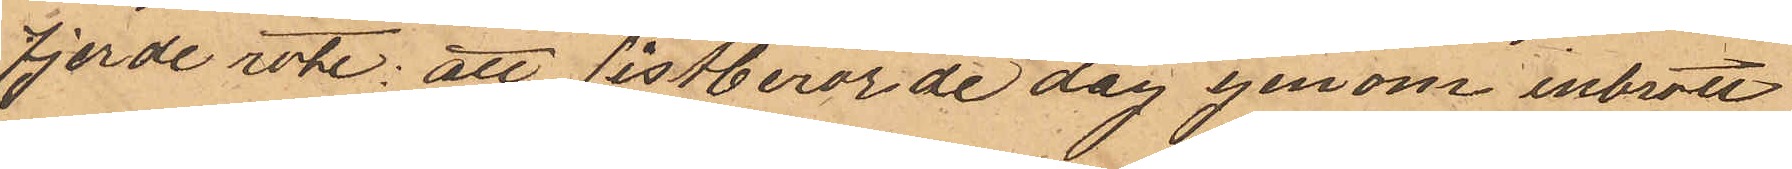fjerde rote; att sistberörde dag genom inbrott
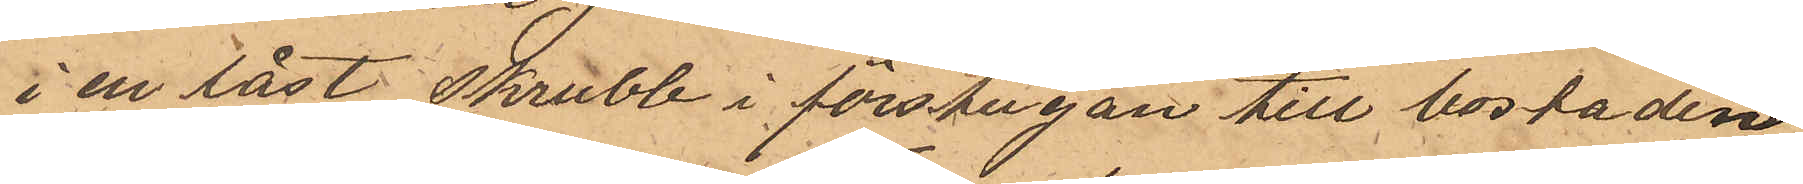i en låst skrubb i förstugan till bostaden
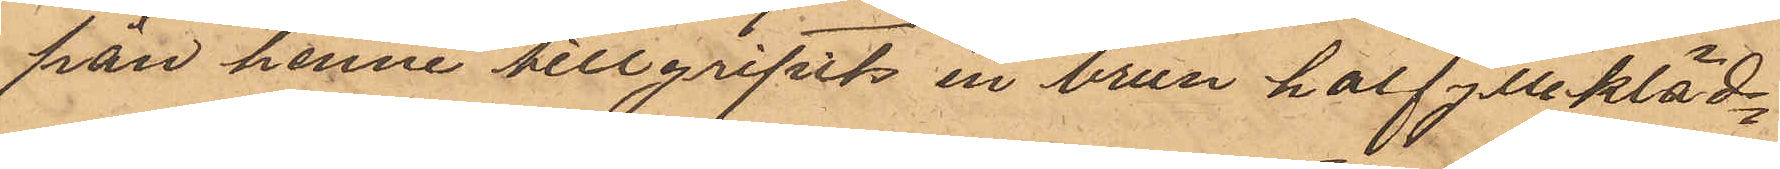från henne tillgripits en brun halfyllekläd¬
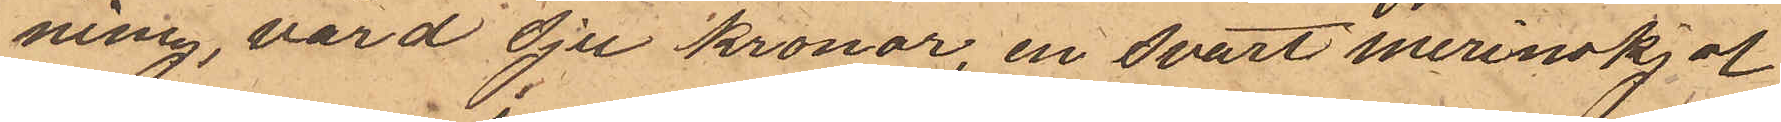ning, värd Sju Kronor, en svart merinoskjol
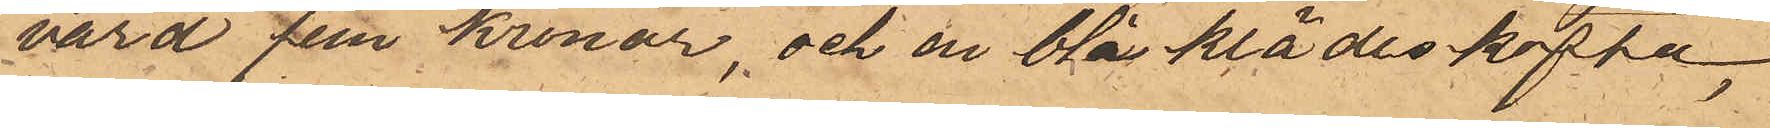värd fem kronor, och en blå klädeskofta
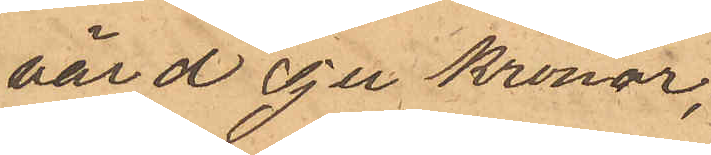värd Sju Kronor,
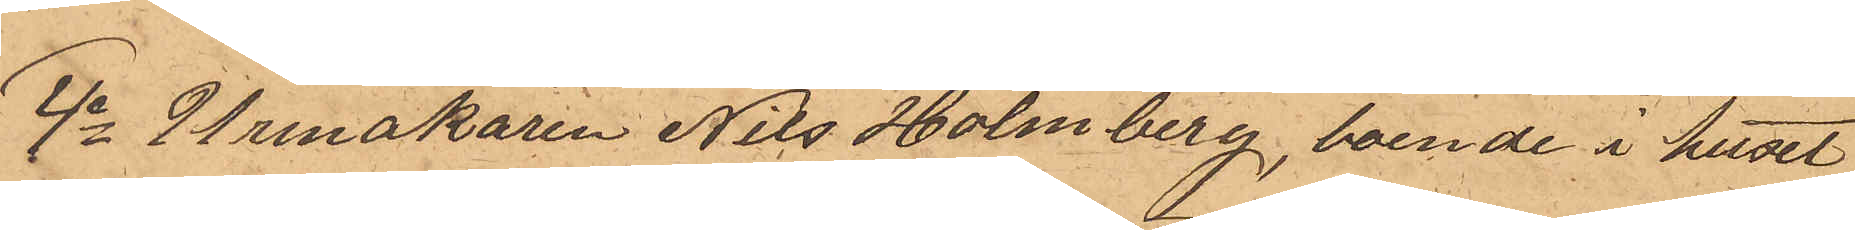4o Urmakaren Nils Holmberg, boende i huset
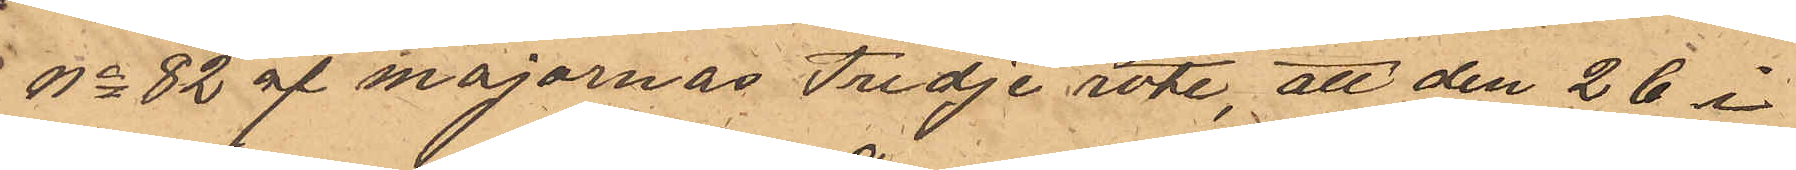No 82 af Majornas Tredje rote, att den 26 i
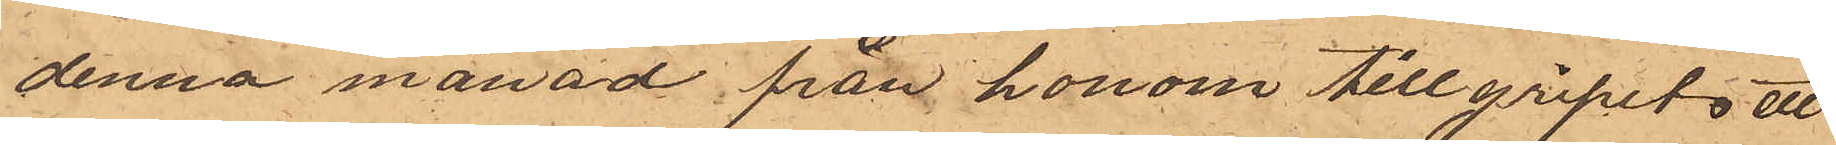denna månad från honom tillgripits ett
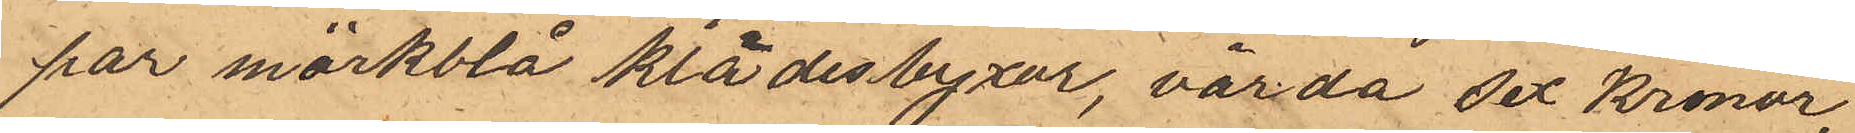par mörkblå klädesbyxor, värda sex Kronor,
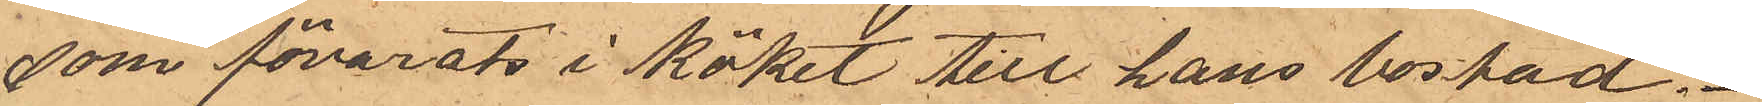som fövarats i köket till hans bostad.
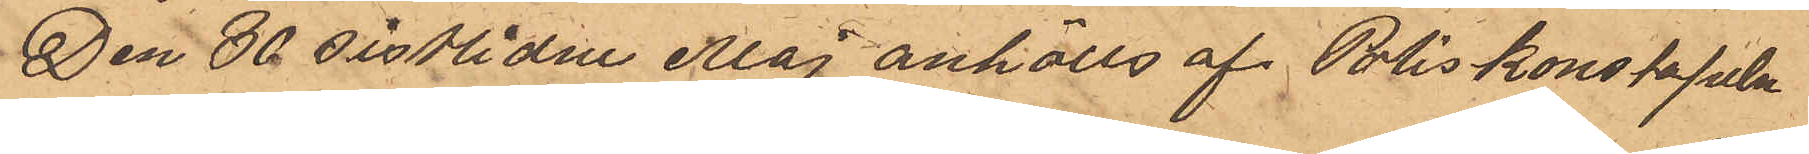Den 30 sistlidne Maj anhölls af Poliskonstapeln
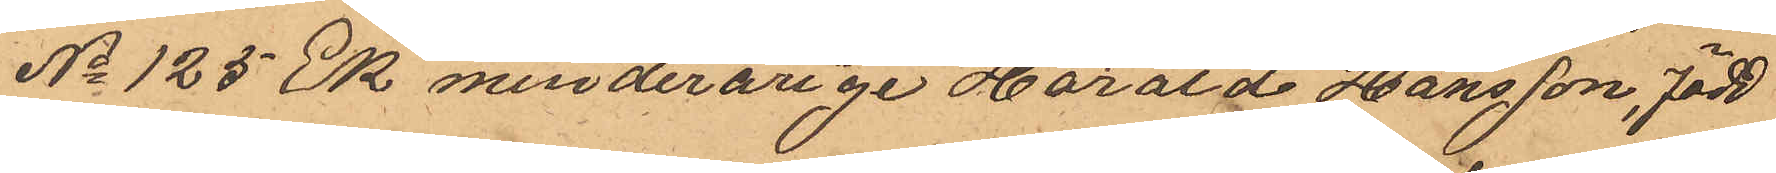No 125 Ek minderårige Harald Hansson, född
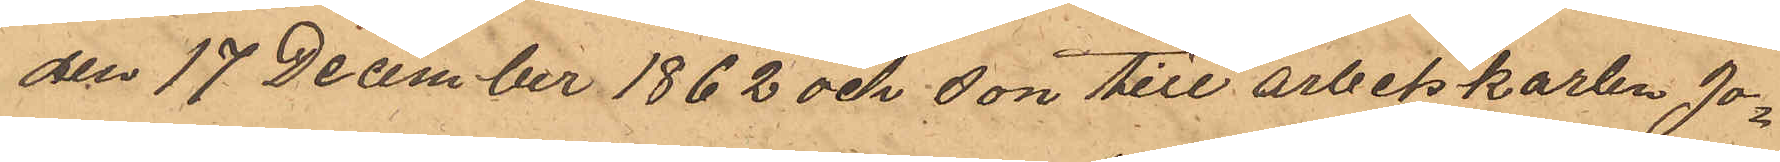den 17 December 1862 och son till arbetskarlen Jo¬
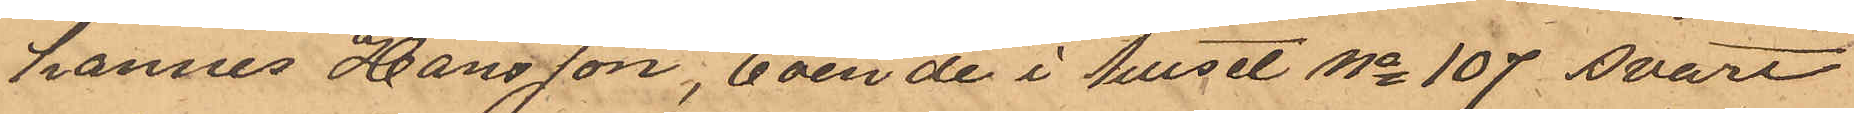hannes Hansson, boende i huset No 107 svart
